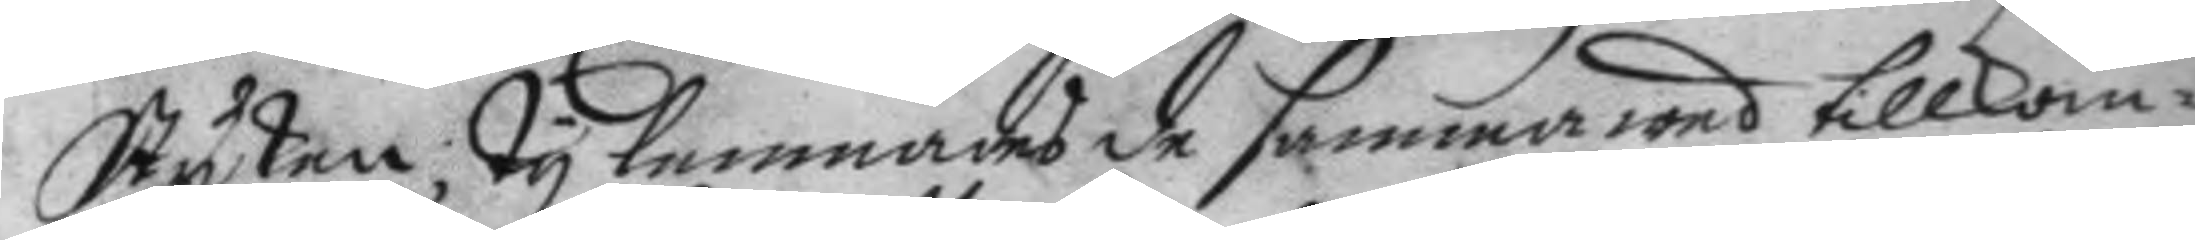Stycken, Ty lemnades de samma wed tillkom¬
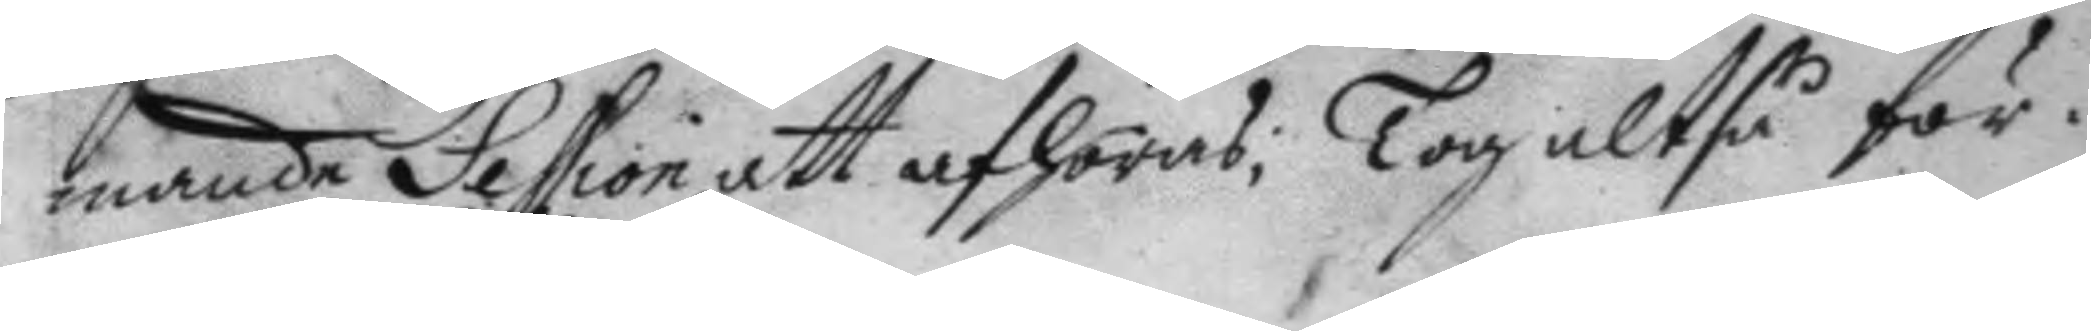mande Session att afhöras; Tog altså för¬
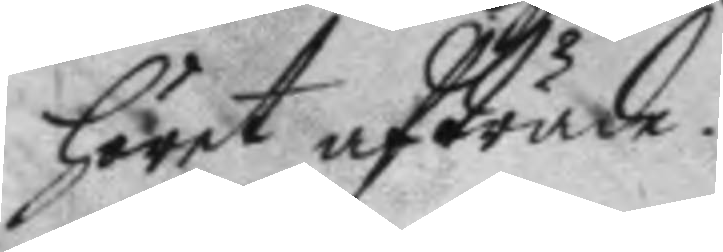höret afträde.
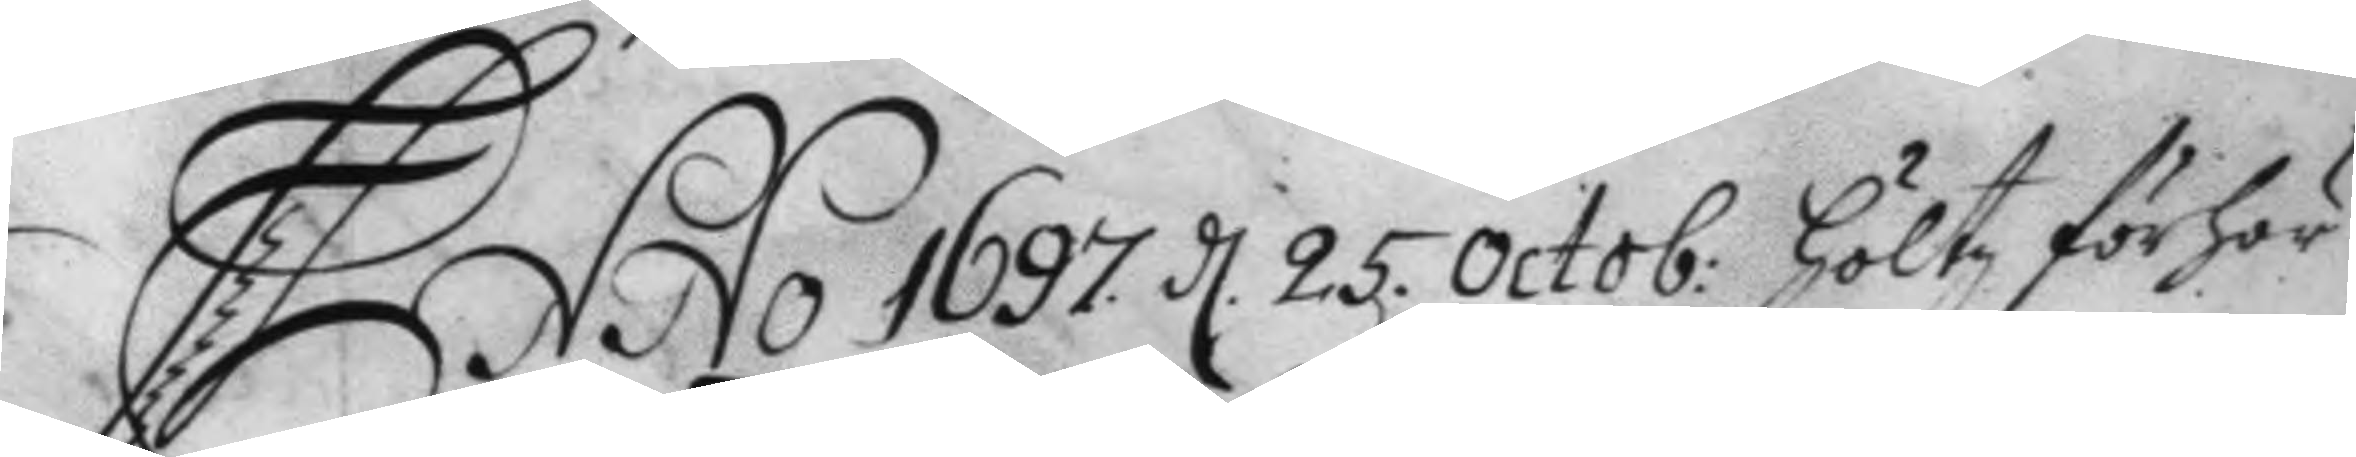Anno 1697. d. 25. Octob: Höltz förhör 
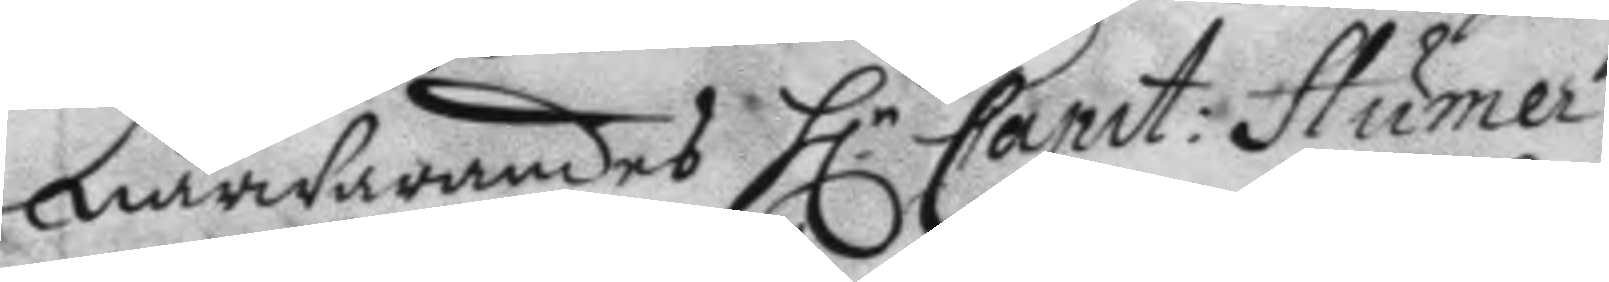närwarandes H.r Capit: Humer 
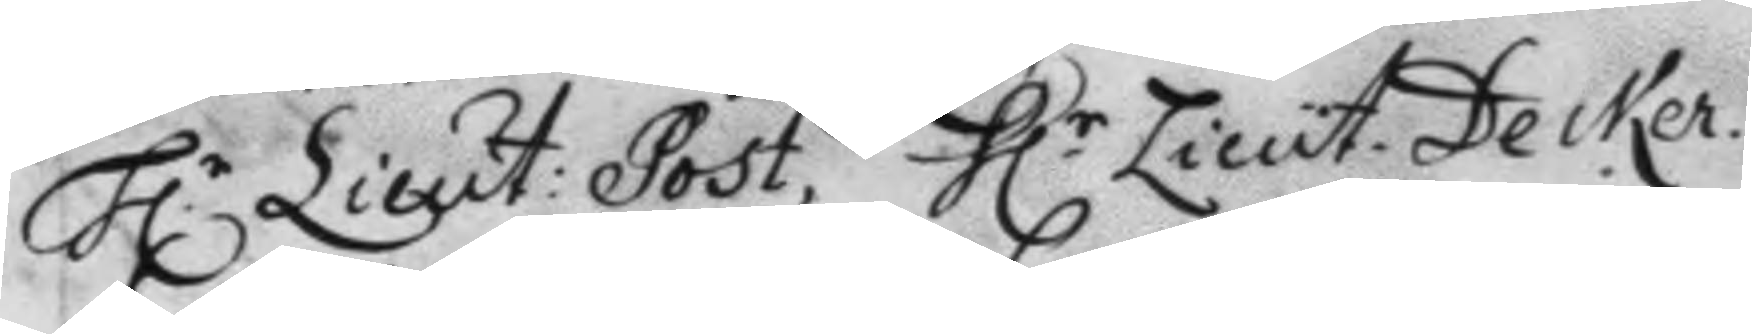H:r Lieut: Post, H.r Lieut. Decker. 
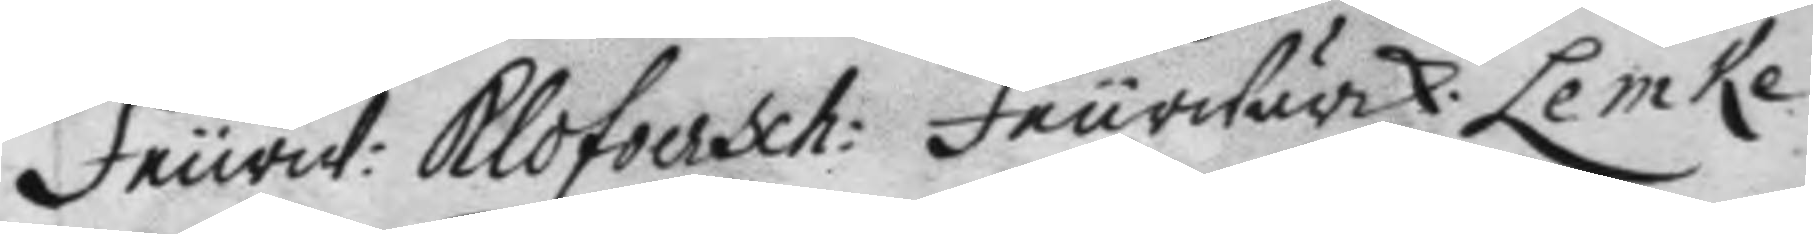Feurw. Klofverch: feurwärk: Lemke
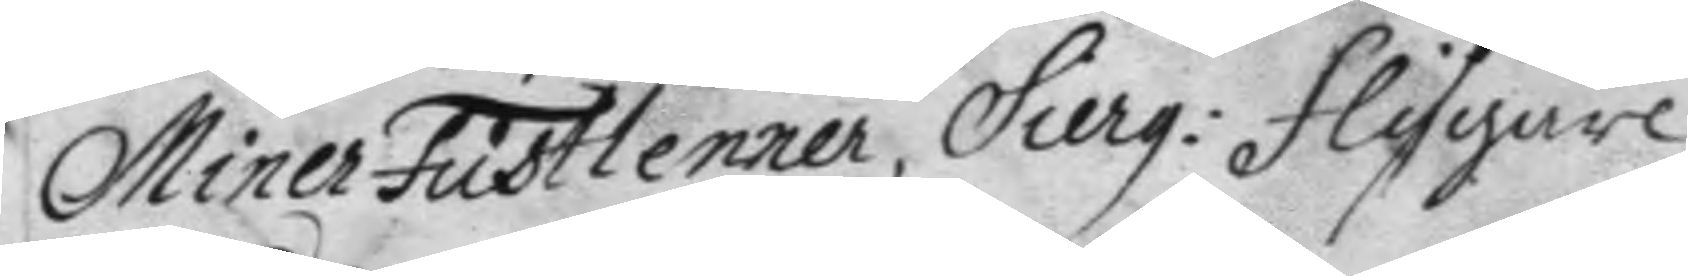Miner Fustlenner, Sierg: Flygare 
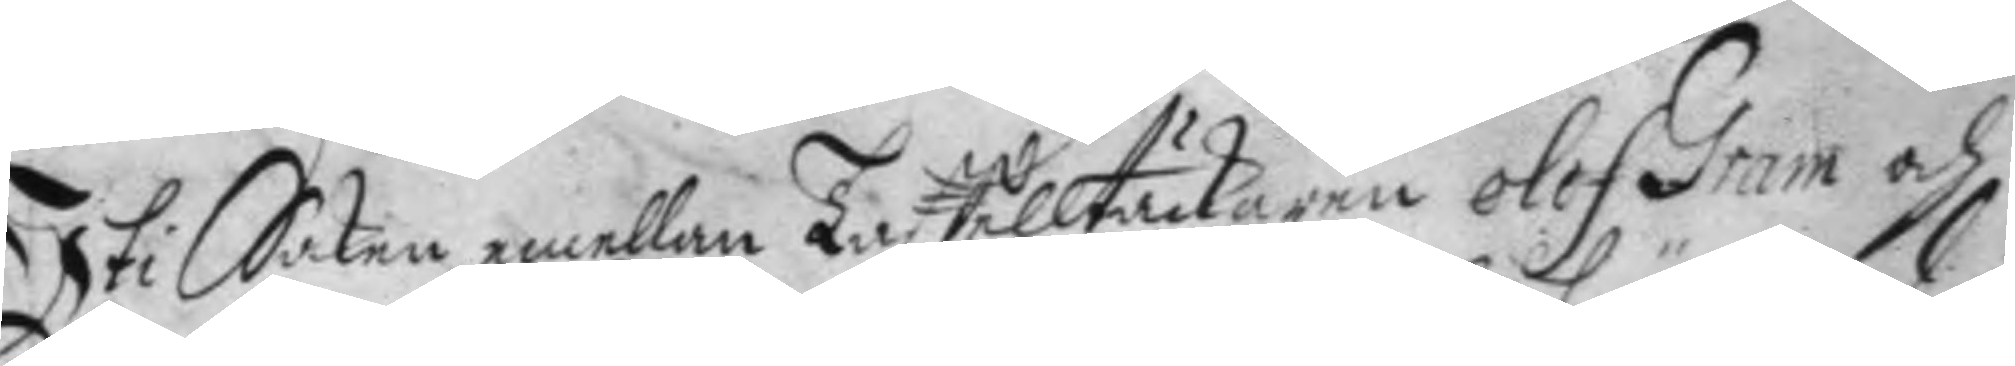Uti Saken emellan Taffelltäckaren Olof Gram och
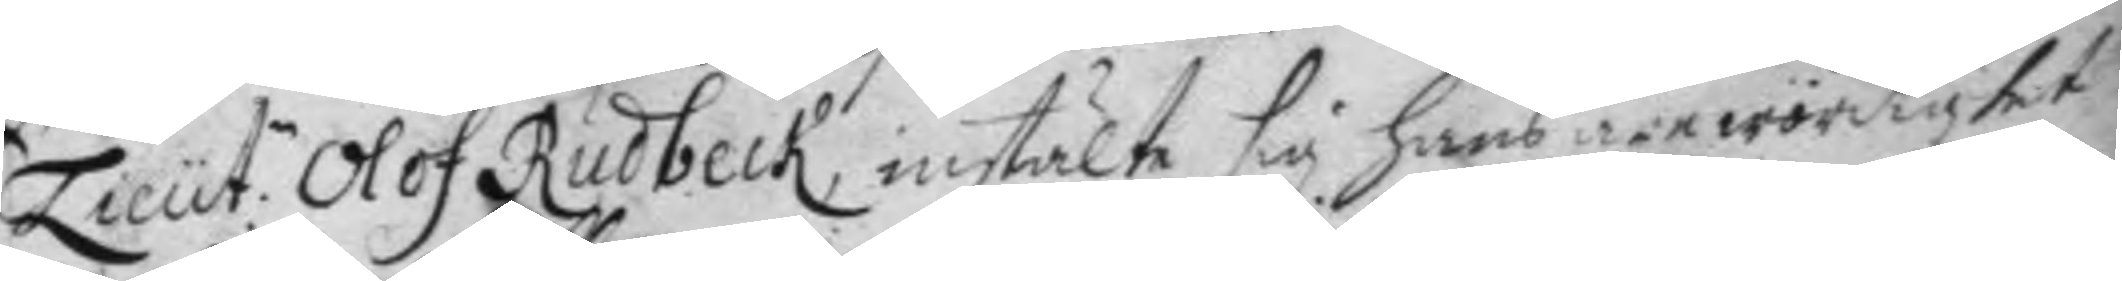Lieut:n Olof Rudbeck, instälte sig hans ärewördighet 
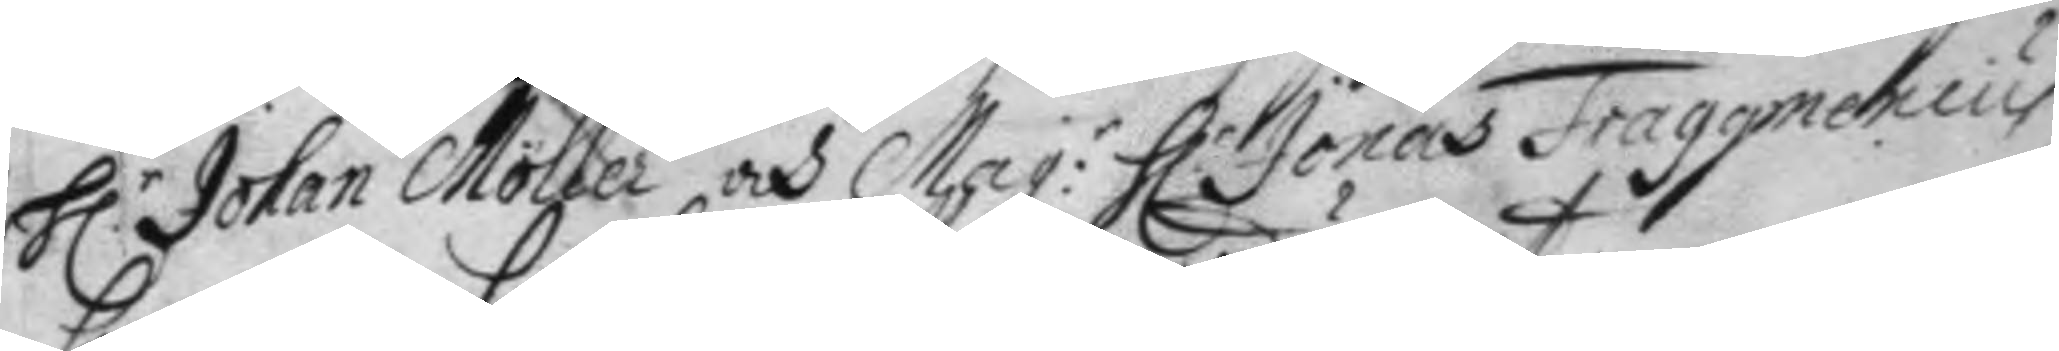H.r Johan Möller och Mag:r  H.r Jonas Fraggnenius 
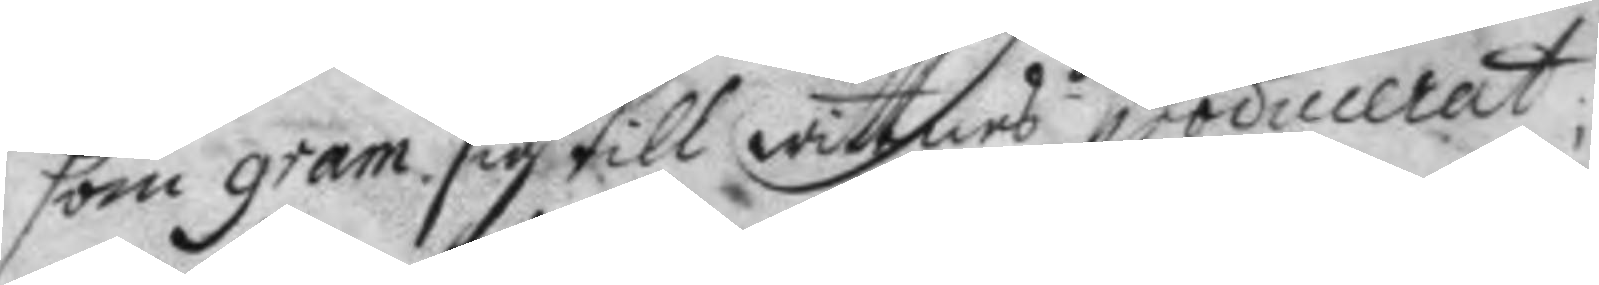som gram sig till wittnes producerat.
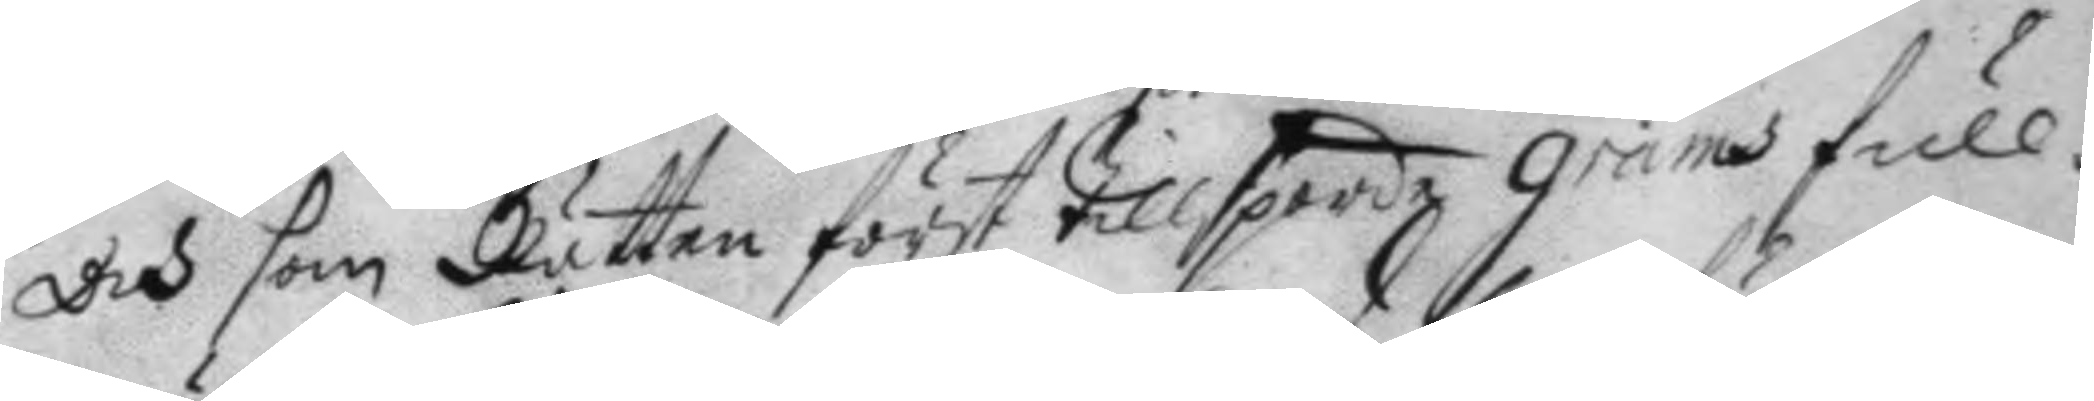Och son Rätten först tillsporde grans full¬
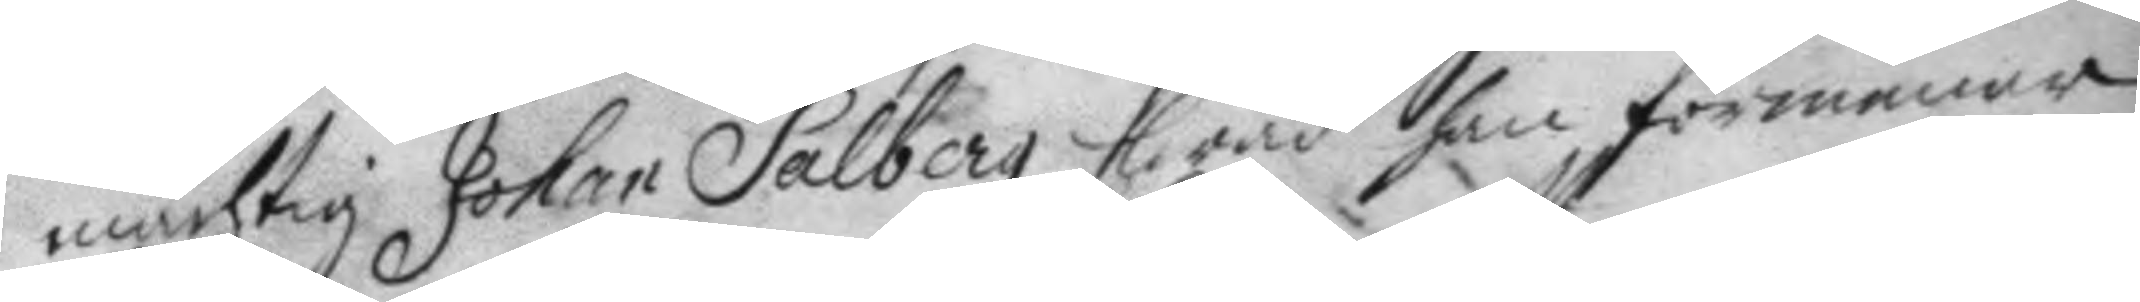mächtig Johan Salberg hwad han förmenar
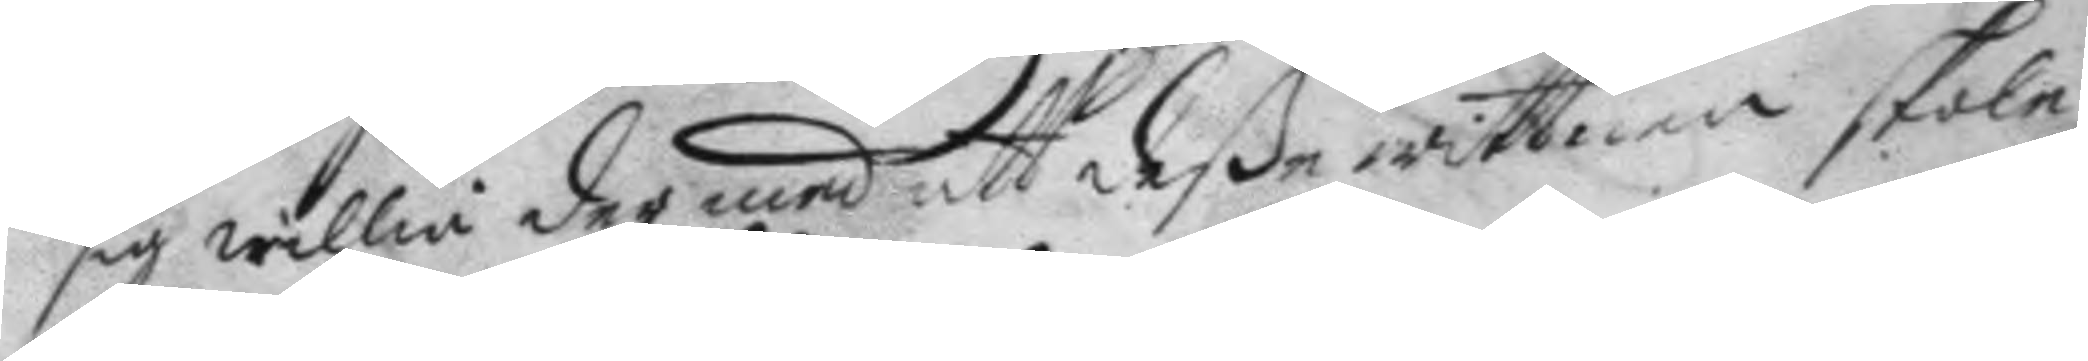sig willia der med att deße wittnen skola
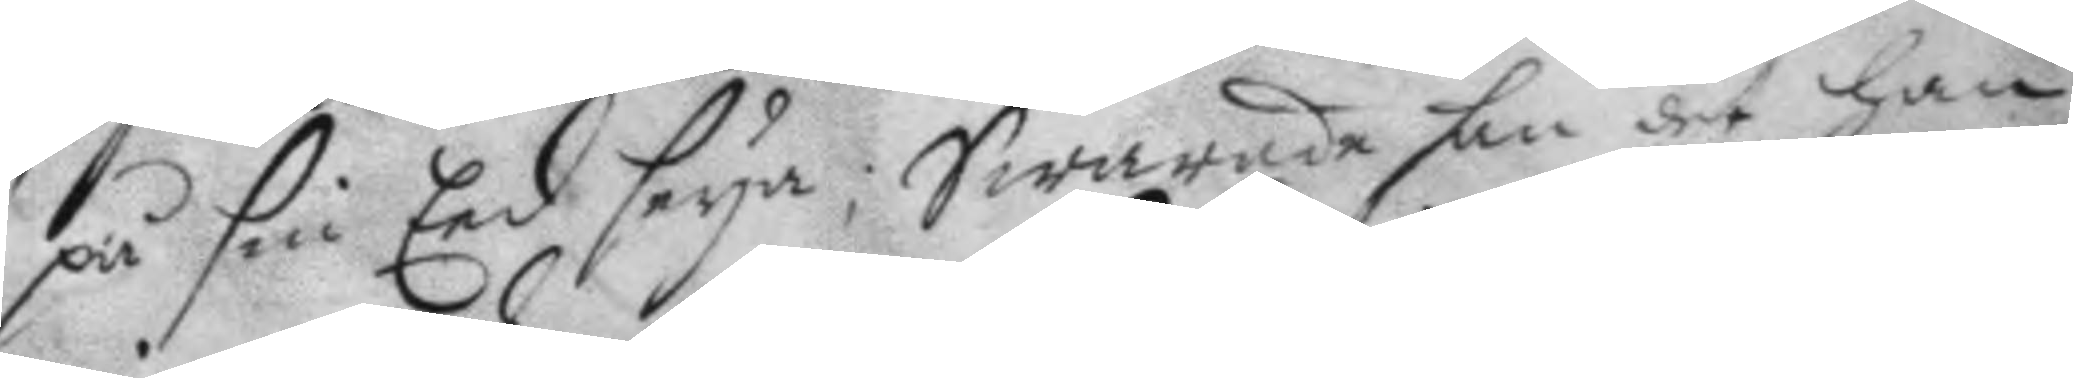på sin Eed seya; Swarade han det han
